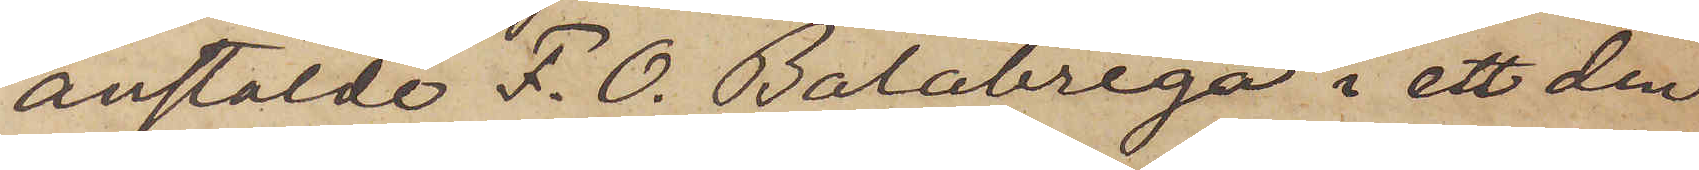anstälde F. O. Balabrega i ett den
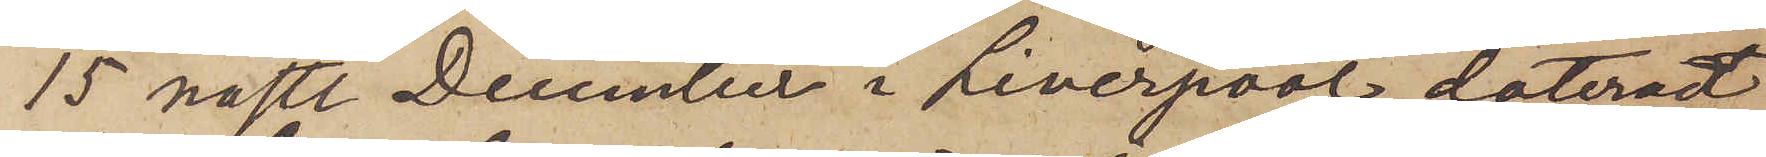15 nästl. December i Liverpool dateradt
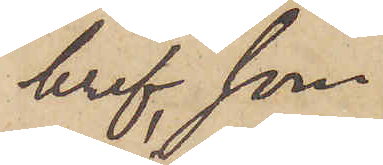bref, som
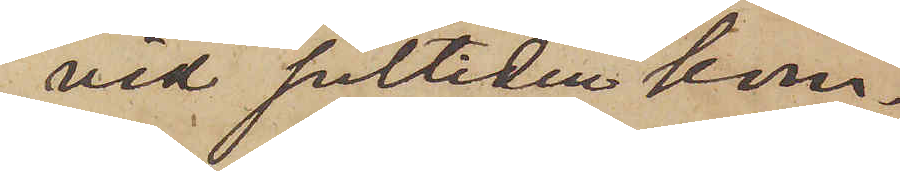vid jultiden kom¬
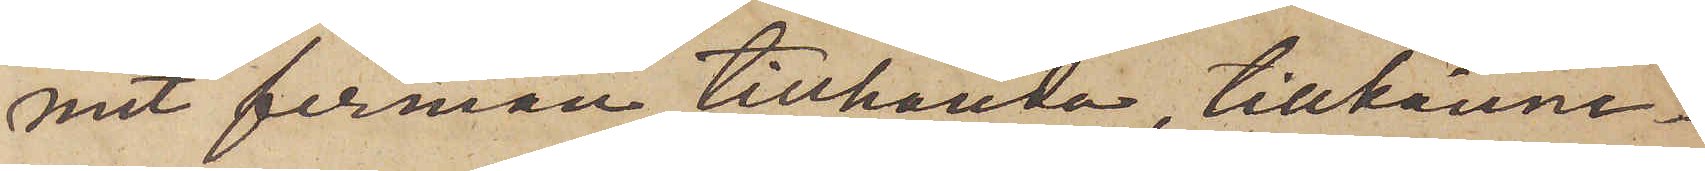mit firman tillhanda, tillkänna¬
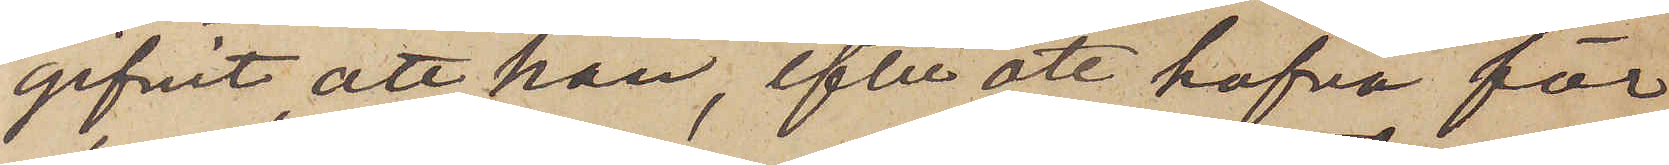gifvit, att han, efter att hafva för
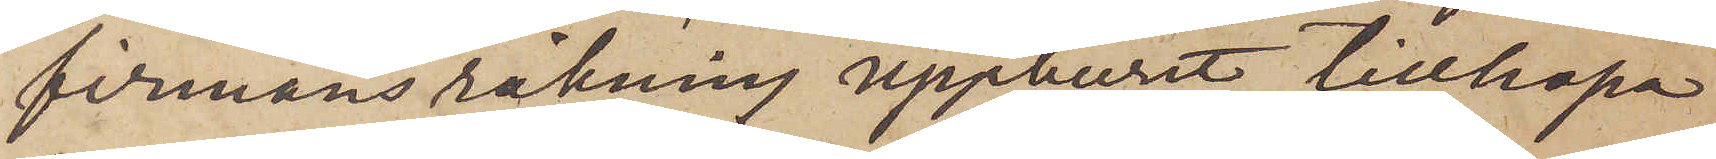firmans räkning uppburit tillhopa
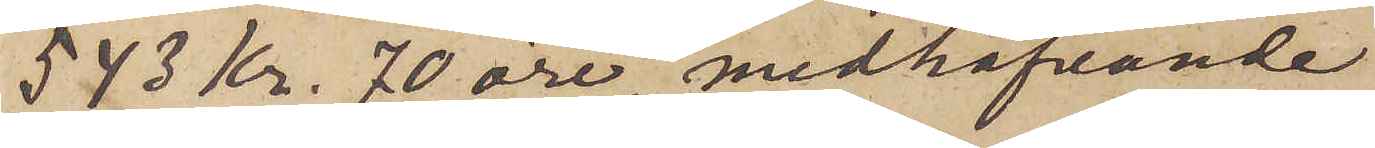543 Kr. 70 öre, medhafvande
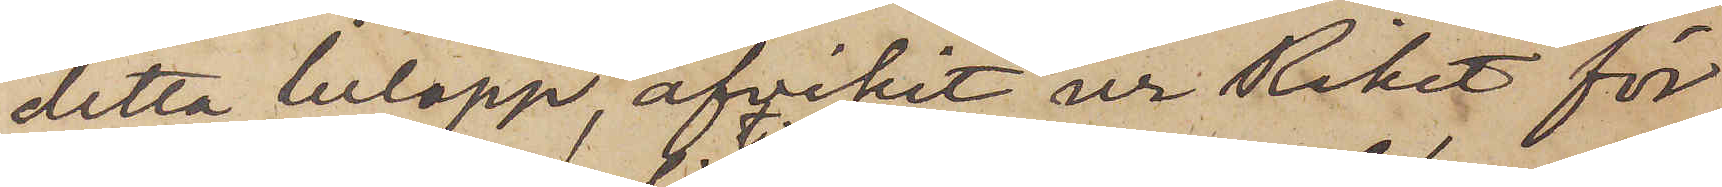detta belopp, afvikit ur Riket för
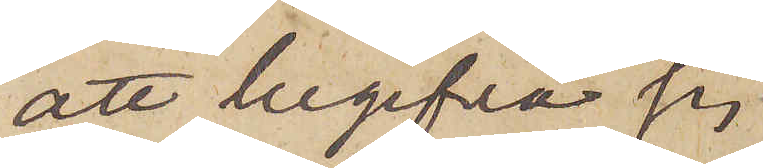att begifva sig
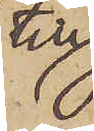till
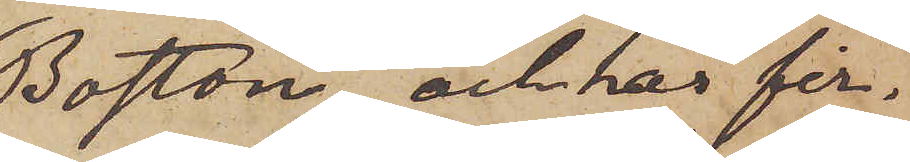Boston och har fir¬
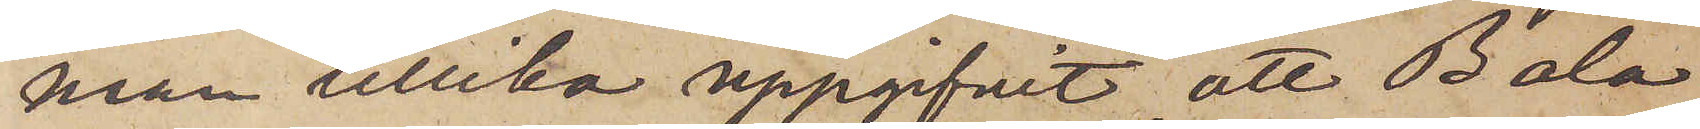man tillika uppgifvit, att Bala¬
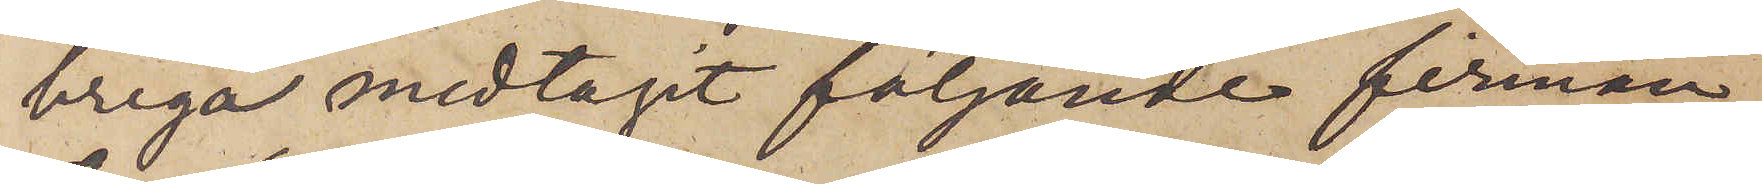brega medtagit följande firman
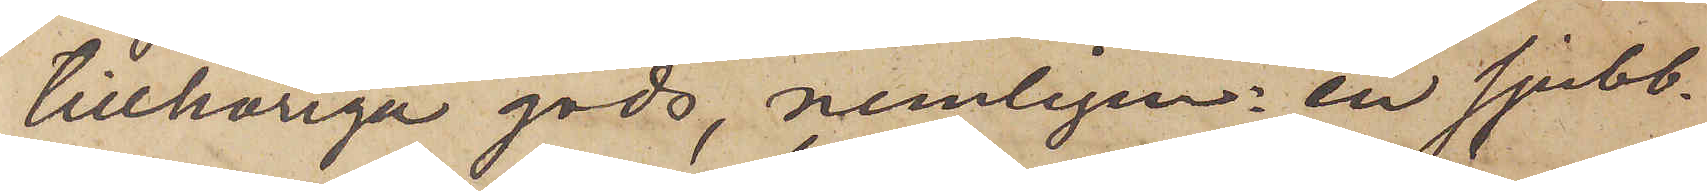tillhöriga gods, nemligen: en sjubb¬
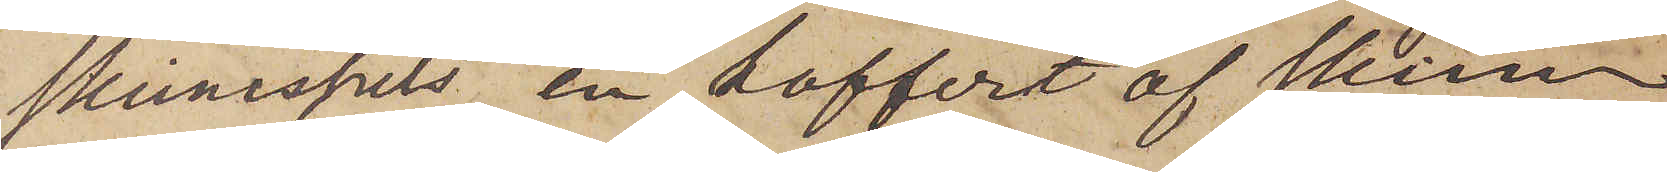skinnspels, en koffert af skinn
